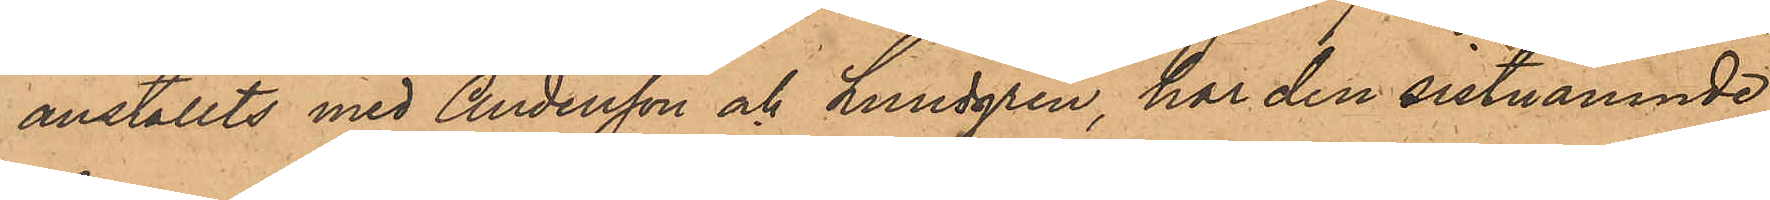anställts med Andersson och Lundgren, har den sistnämnde
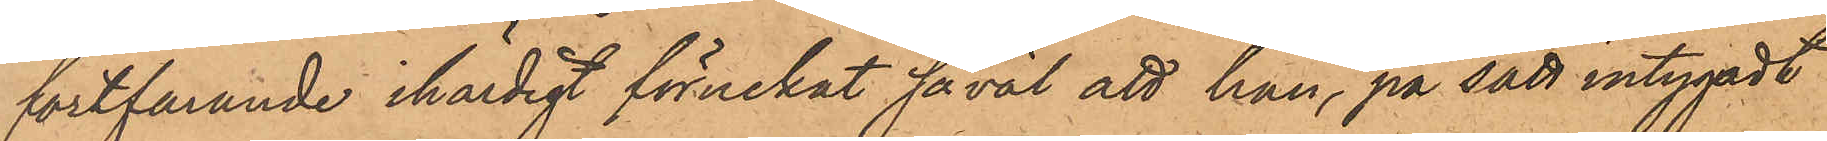fortfarande ihärdigt förnekat såväl att han, på sätt intygadt
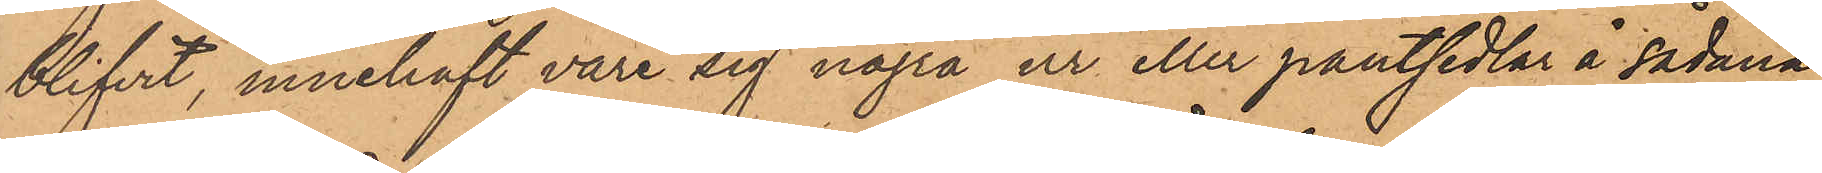blifvit, innehaft vare sig några ur eller pantsedlar å sådana,
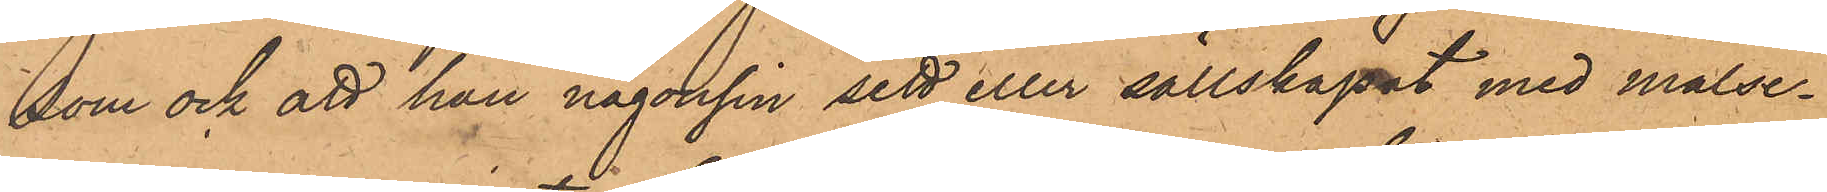som ock att han någonsin sett eller sällskapat med målse¬
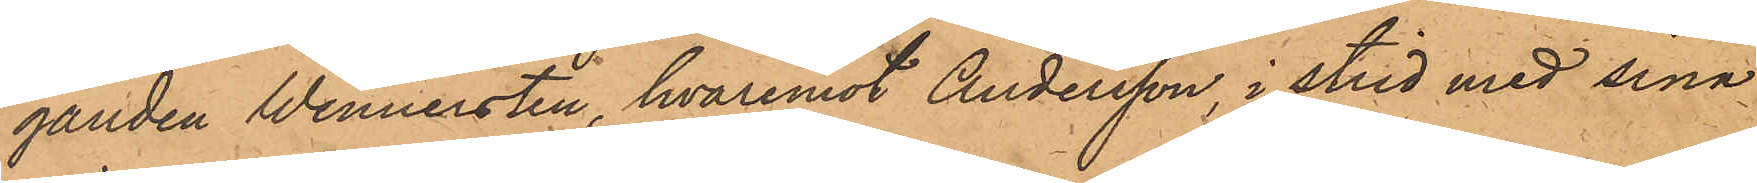ganden Wennersten, hvaremot Andersson i strid med sina
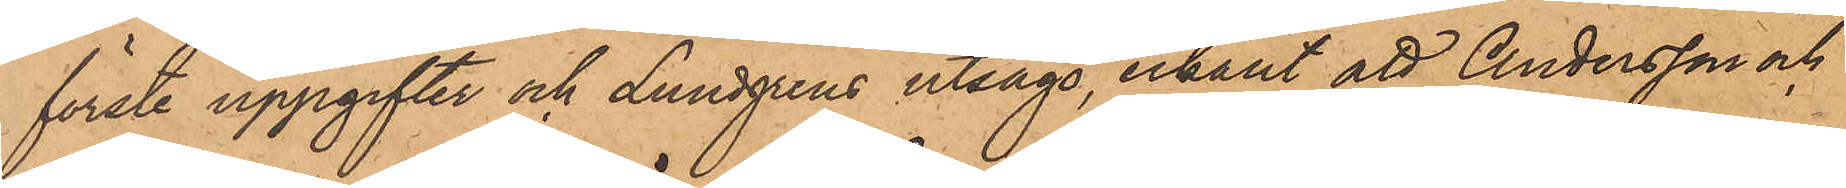första uppgifter och Lundgrens utsago, erkänt att Andersson och
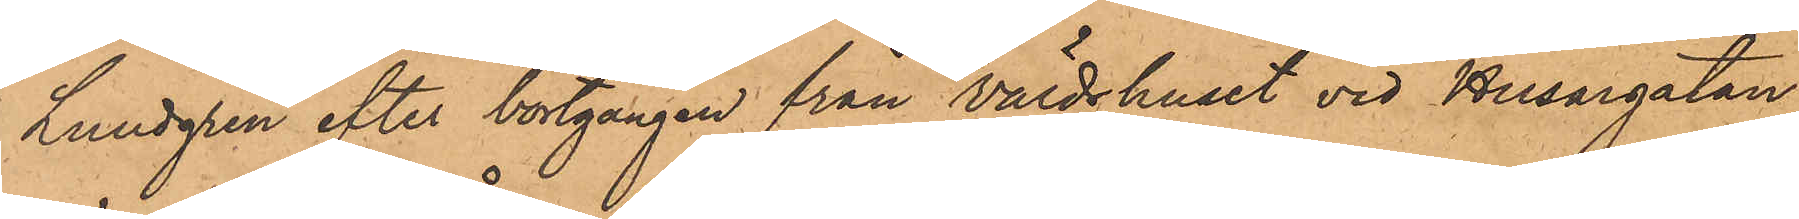Lundgren efter bortgången från Värdshuset vid Husargatan
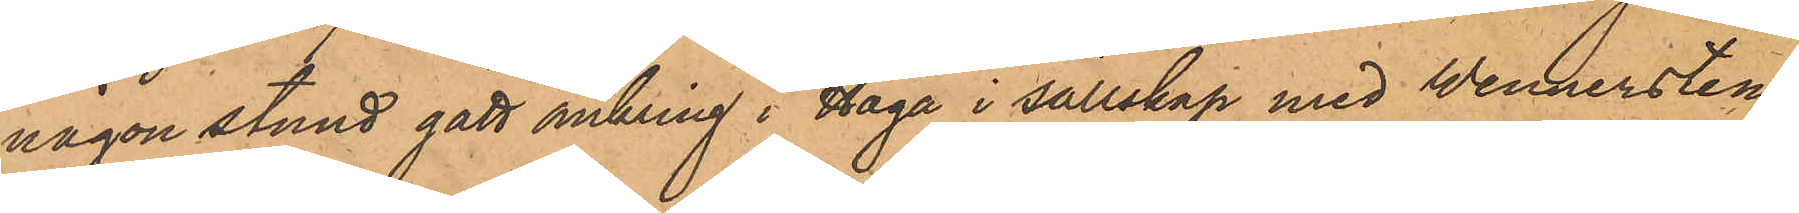någon stund gått omkring i Haga i sällskap med Wennersten,
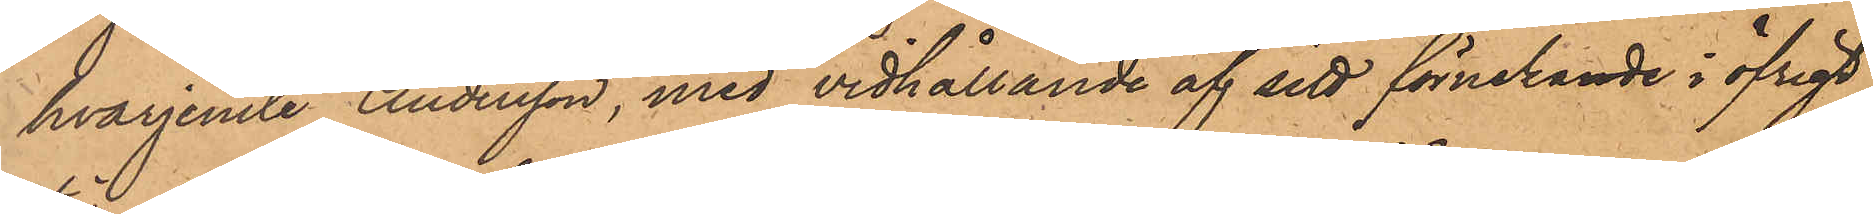hvarjemte Andersson, med vidhållande af sitt förnekande i öfrigt,
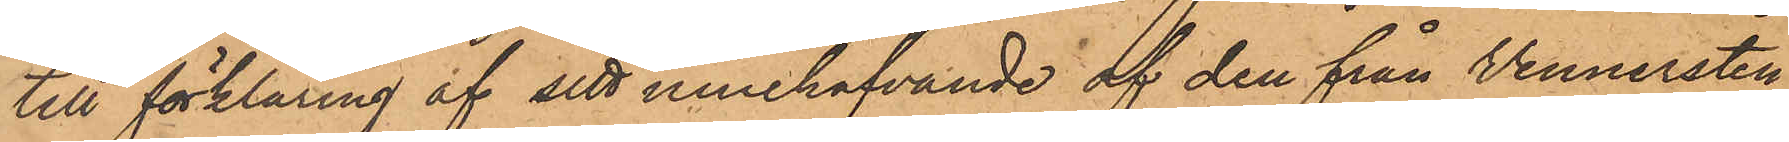till förklaring af sitt innehafvande af den från Wennersten
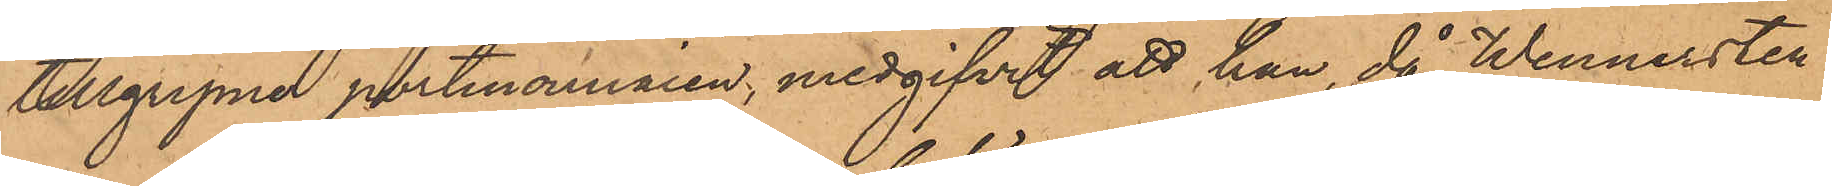tillgripne portmonnaien medgifvit att han, då Wennersten
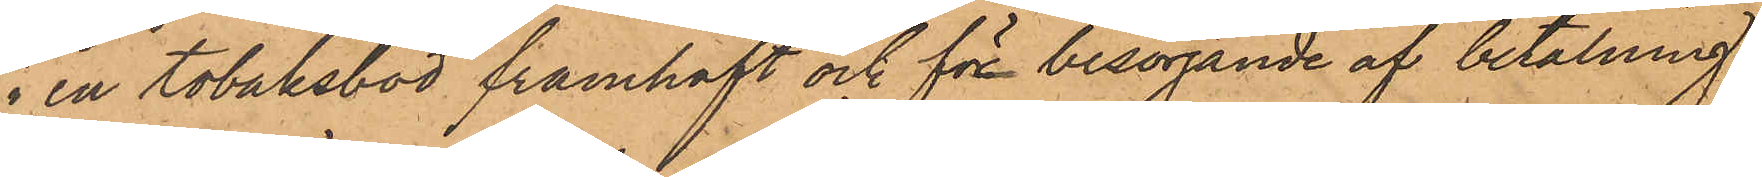i en tobaksbod framhaft och för besörjande af betalning
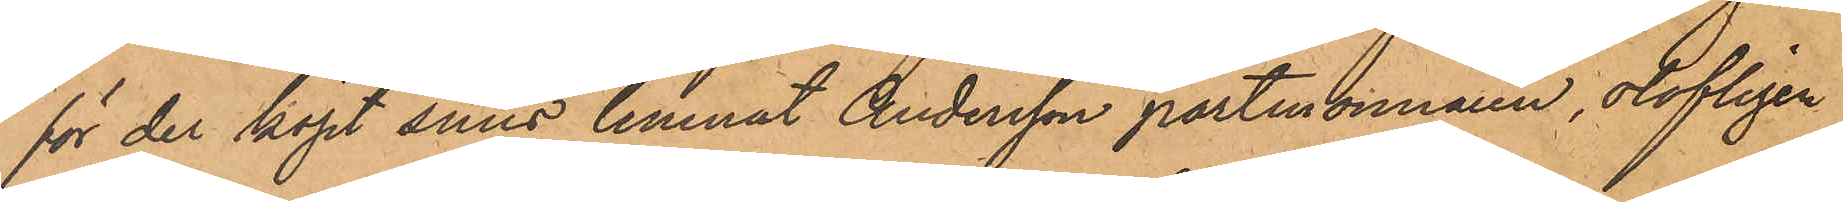för der köpt snus lemnat Andersson portmonnaien, olofligen
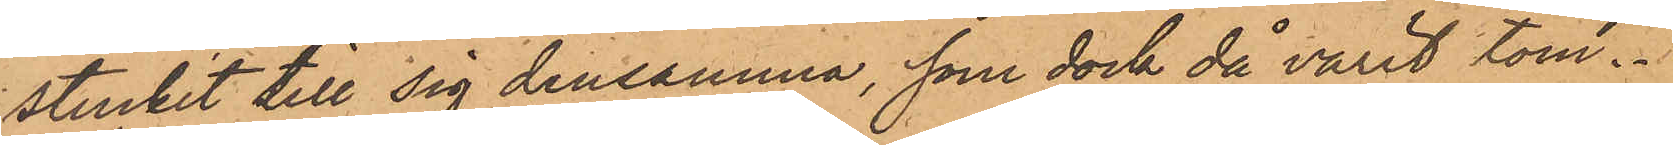stuckit till sig densamma, som dock då varit tom.
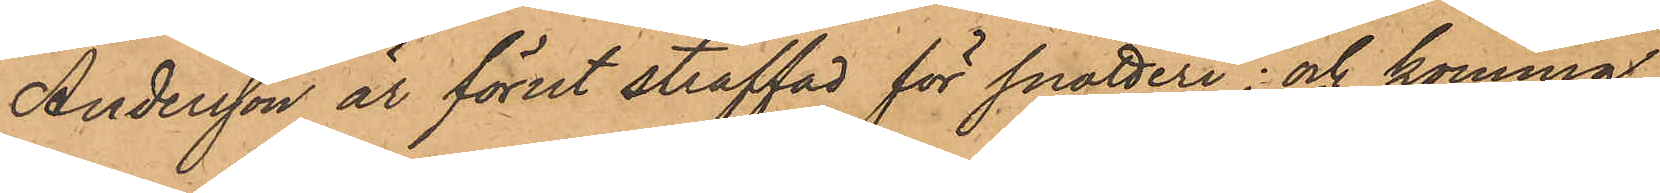Andersson är förut straffad för snatteri; och kommer,
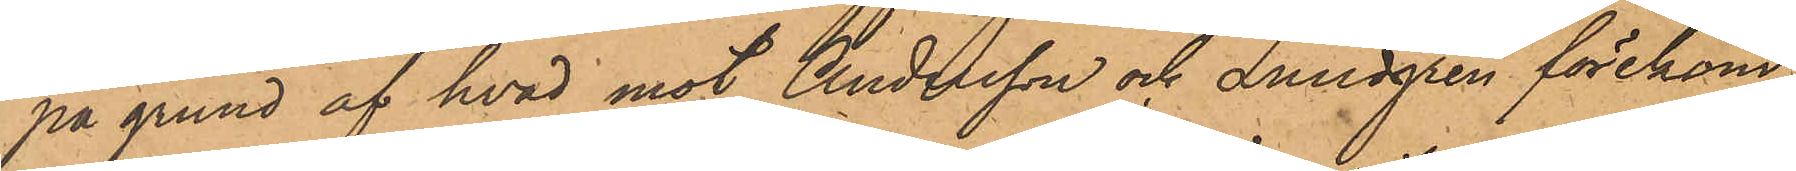på grund af hvad mot Andersson och Lundgren förekom¬
